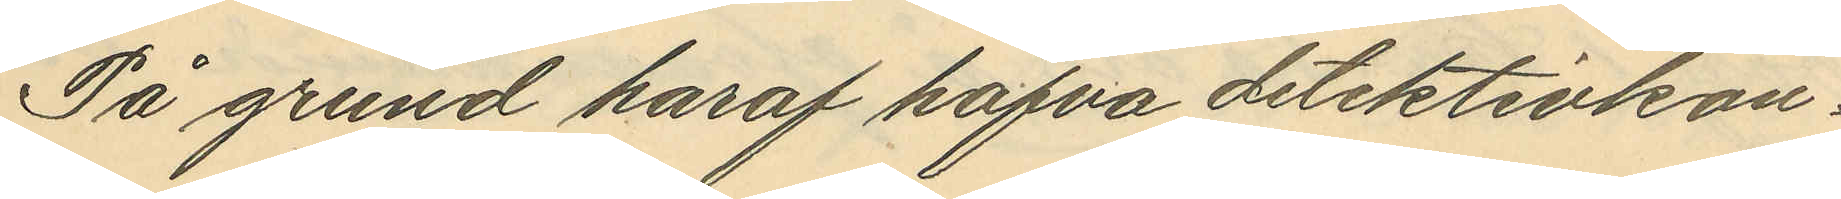På grund haraf hafva detektivkon¬
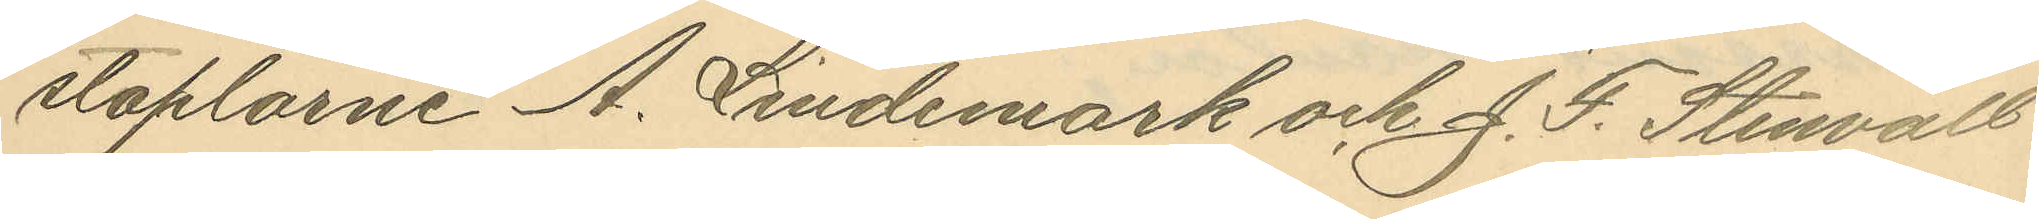staplarne A. Lindemark och J. F. Stenvall
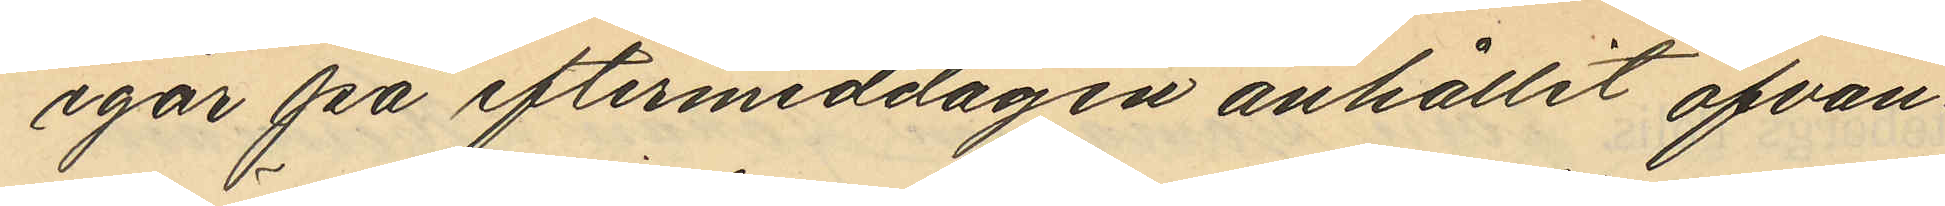igår på eftermiddagen anhållit ofvan¬
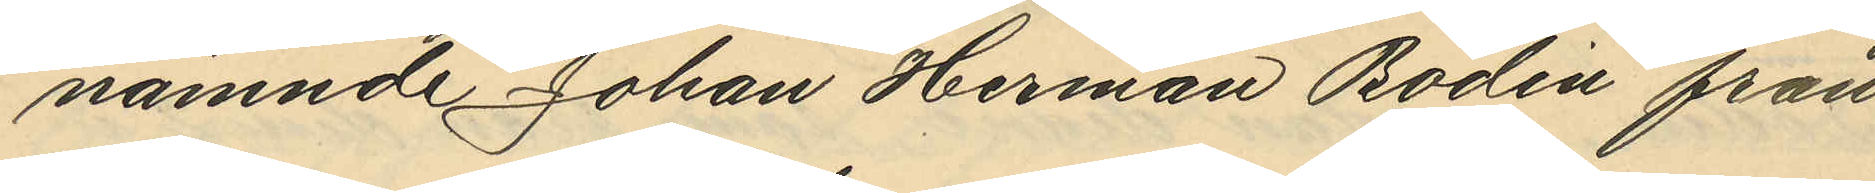nämnde Johan Herman Bodin från
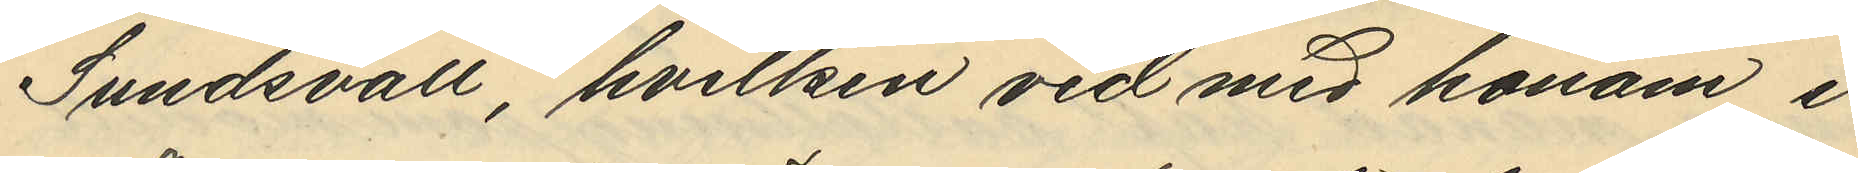Sundsvall, hvilken vid med honom i
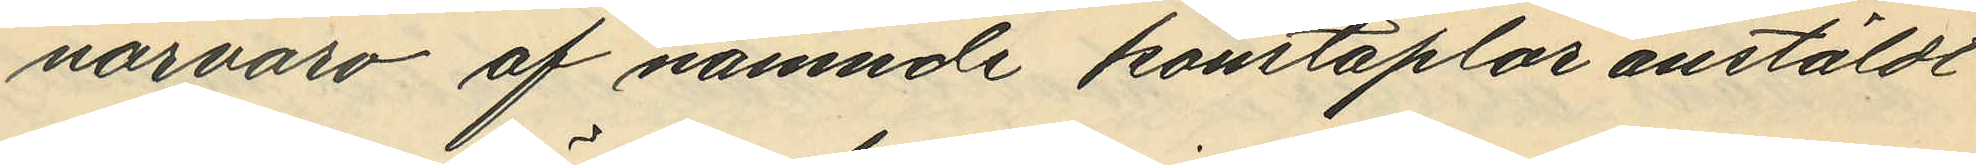närvaro af nämnde konstaplar anstäldt
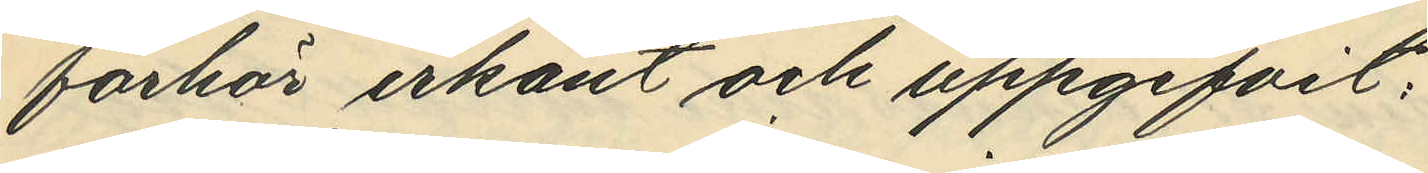förhör erkänt och uppgifvit:
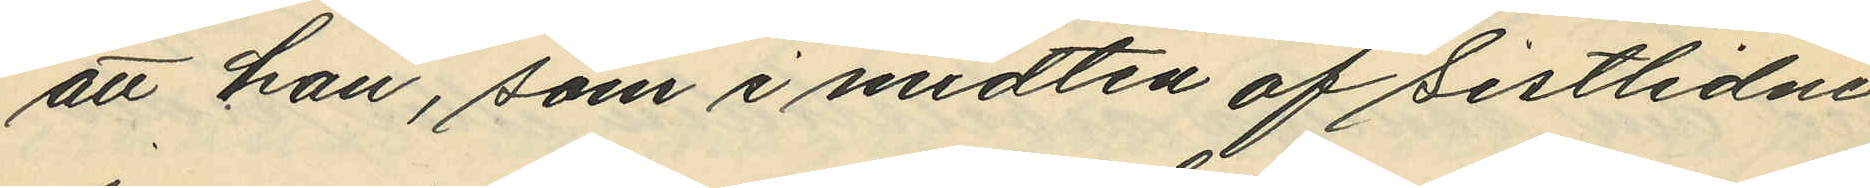att han, som i midten af Sistlidne
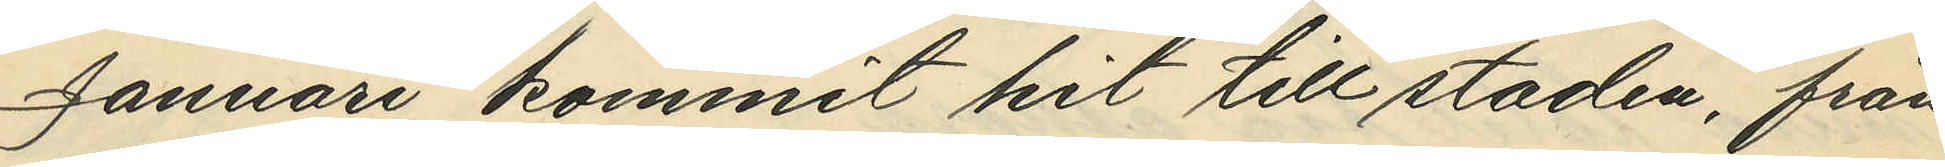Januari kommit hit till staden, från
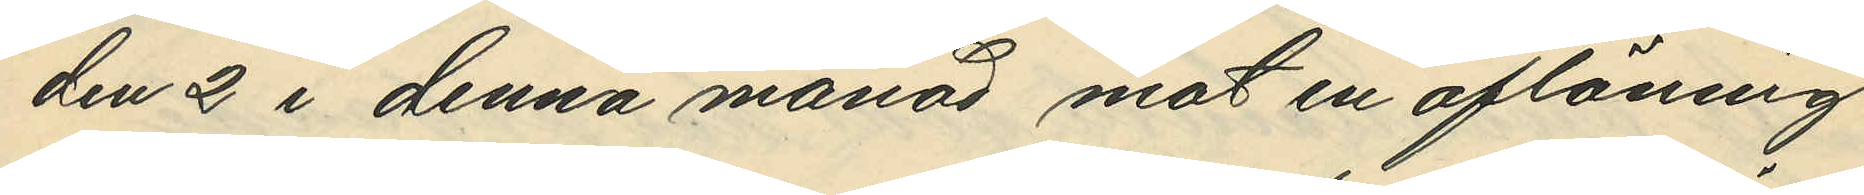den 2 i denna månad mot en aflöning
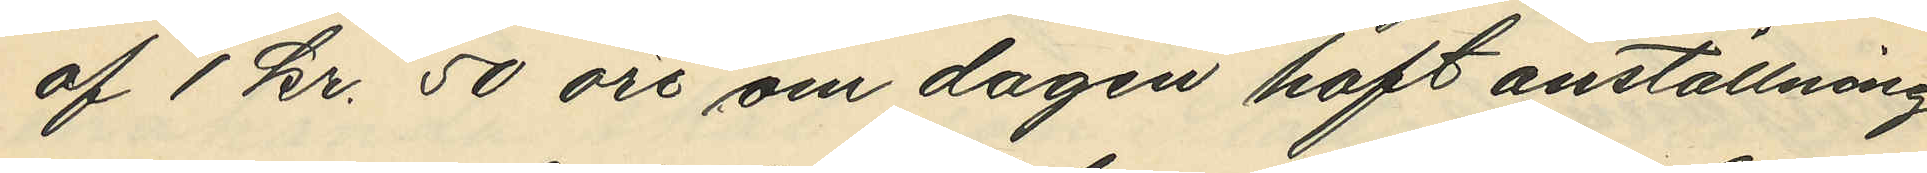af 1 kr 50 öre om dagen haft anställning
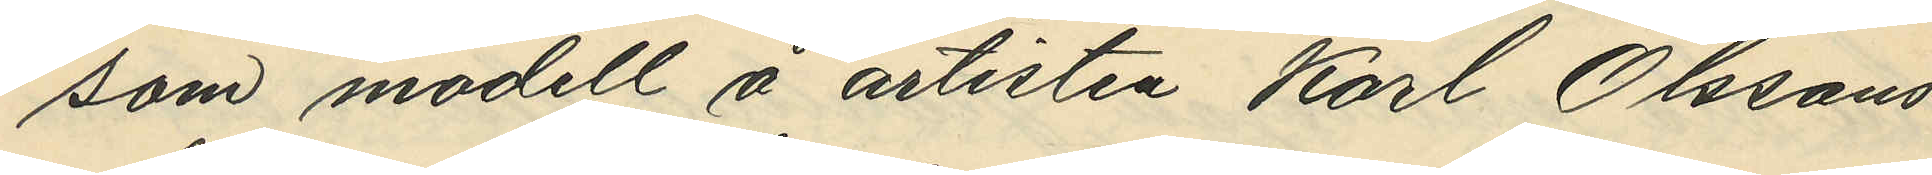som modell å artisten Karl Olssons
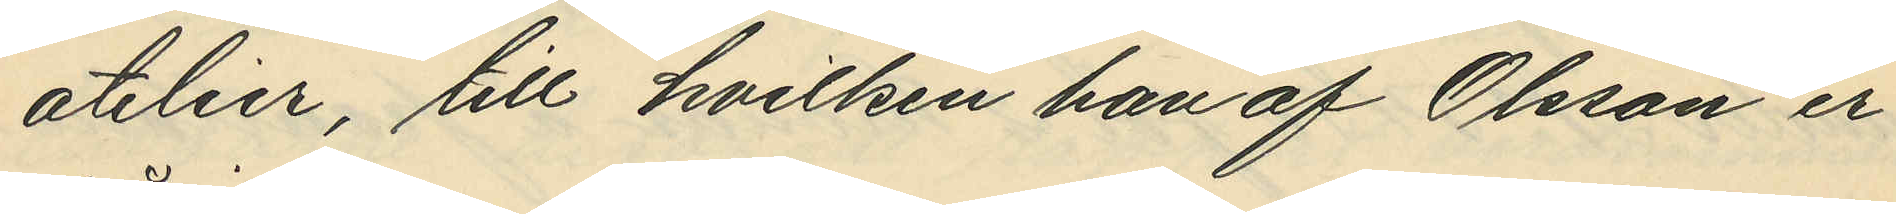atelier, till hvilken han af Olsson er¬
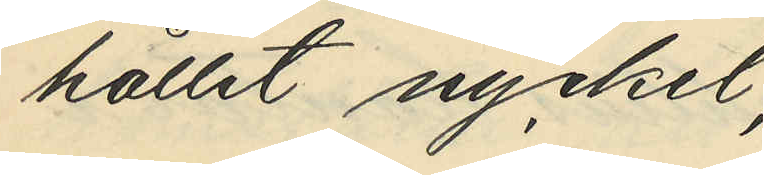hållit nyckel;
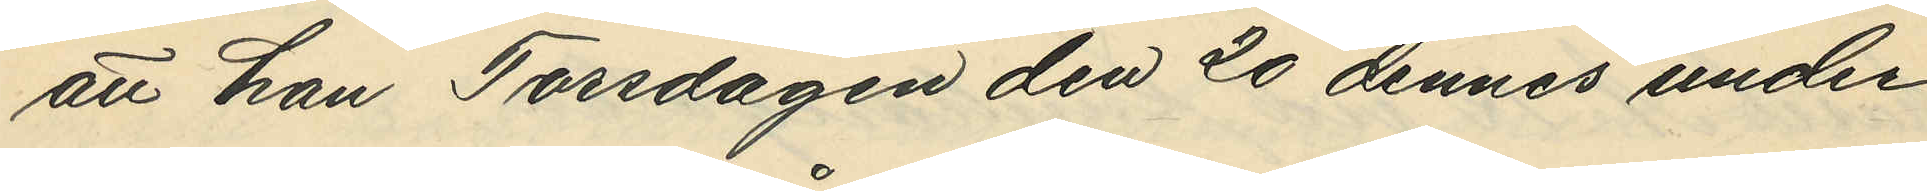att han Torsdagen den 20 dennes under
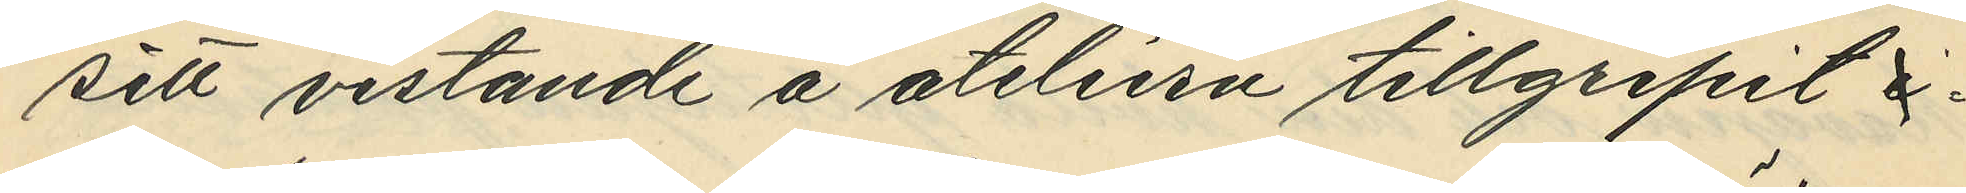sitt vistande å ateliern tillgripit
